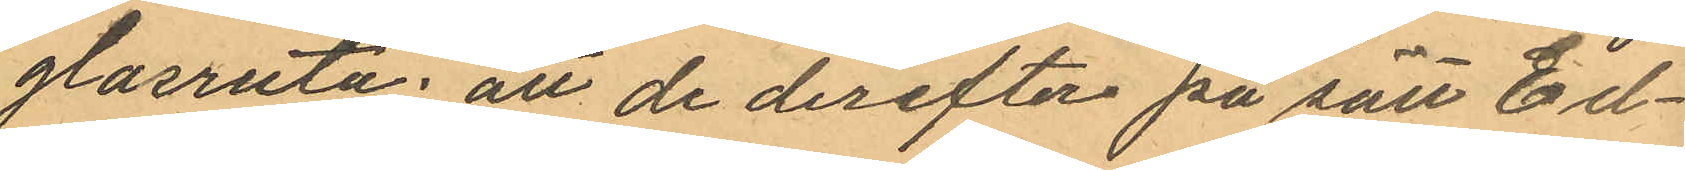glasruta: att de derefter på sätt Ed¬
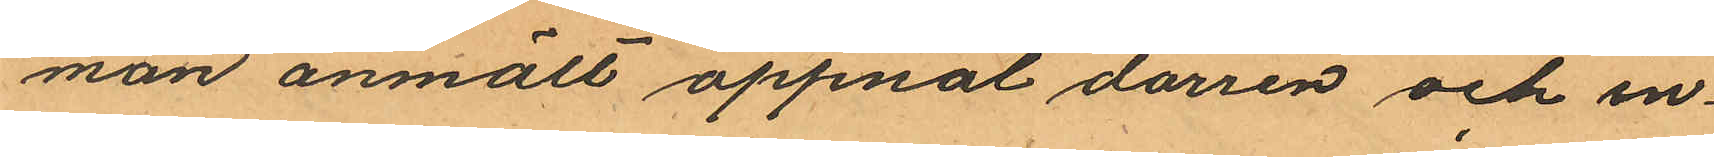man anmält öppnat dörren och in¬
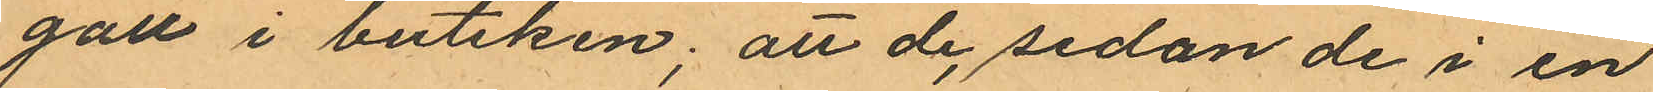gått i butiken; att de, sedan de i en
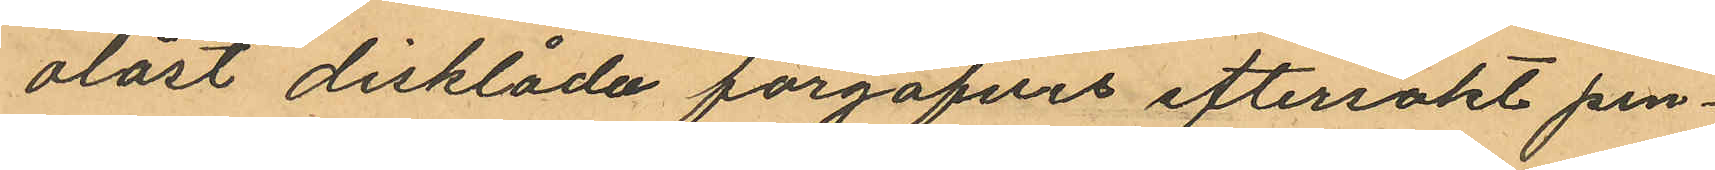olåst disklåda förgäfves eftersökt pen¬
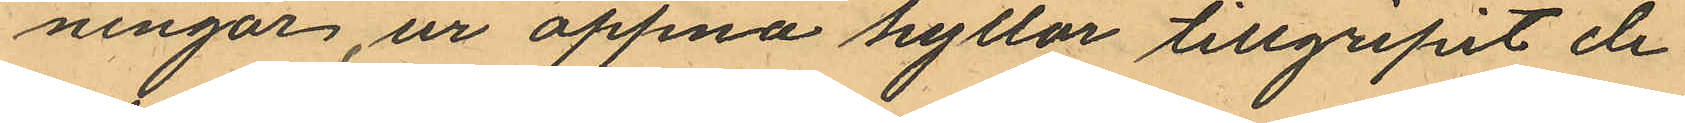ningar, ur öppna hyllor tillgripit de
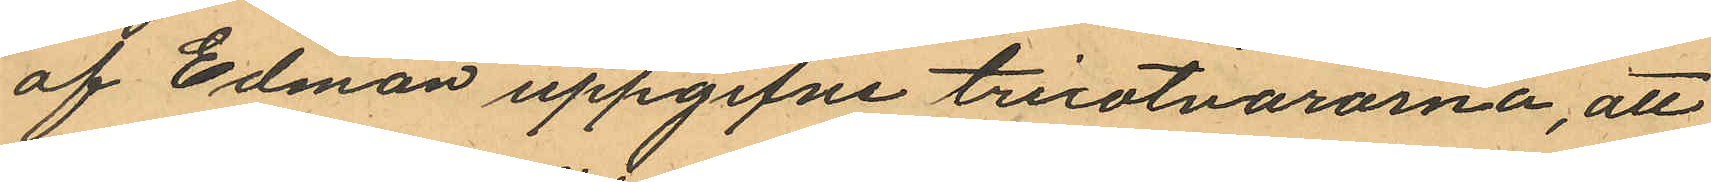af Edman uppgifne tricotvarorna, att
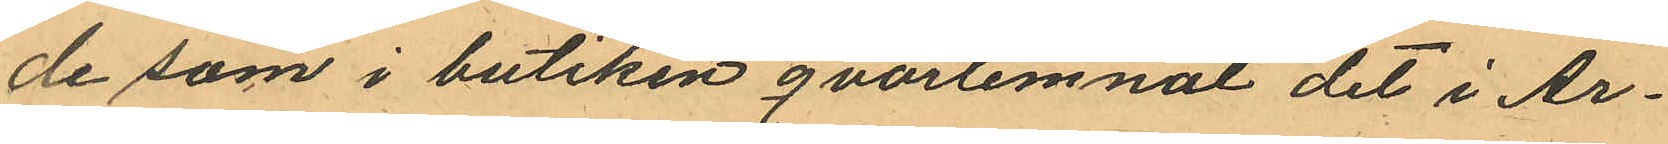de som i butiken qvarlemnat det i Ar¬
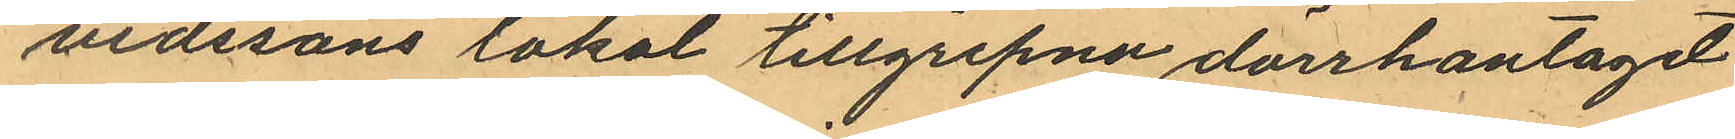vidssons lokal tillgripna dörrhantaget
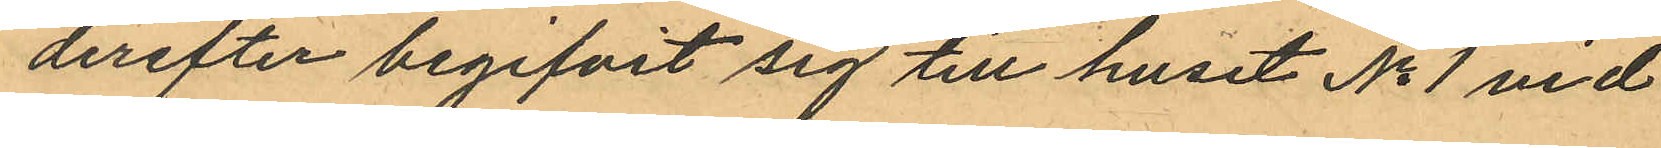derefter begifvit sig till huset No 1 vid
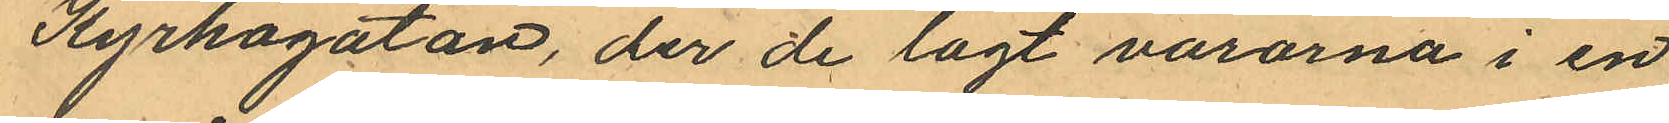Kyrkogatan, der de lagt varorna i en
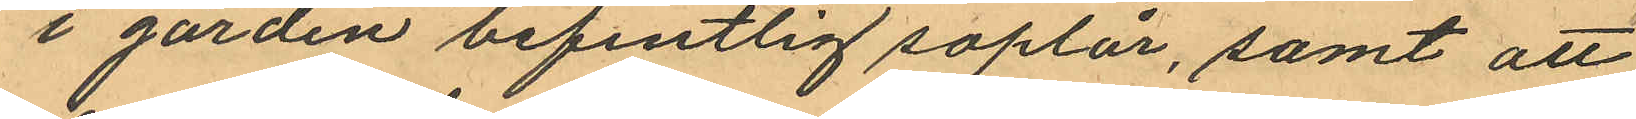i gården befintlig soplår, samt att
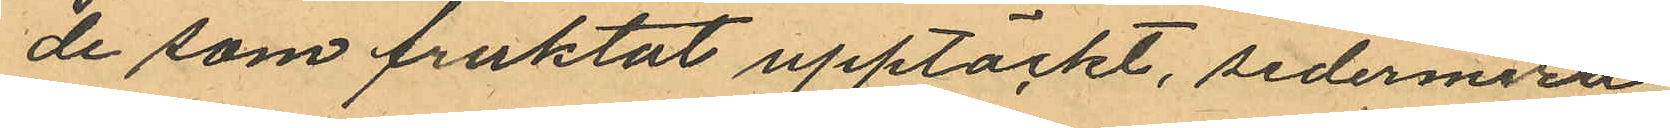de som fruktat upptäckt, sedermera
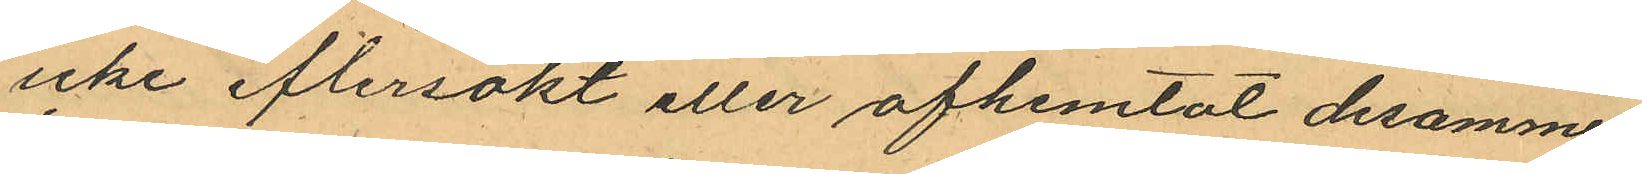icke eftersökt eller afhemtat desamme;
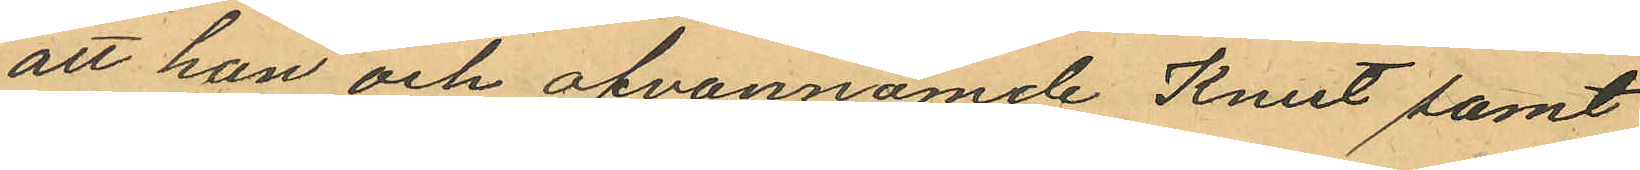att han och ofvannämnde Knut samt
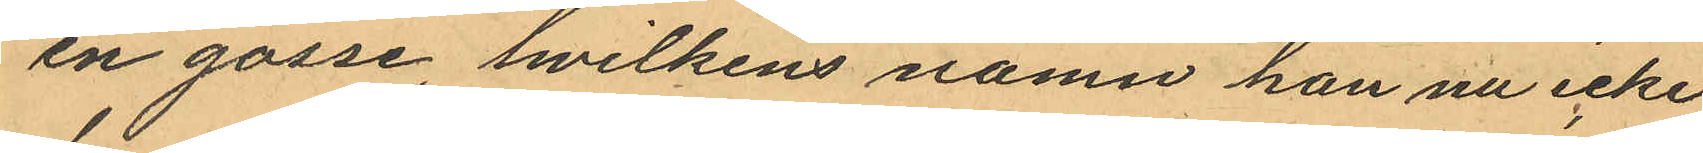en gosse, hvilkens namn han nu icke
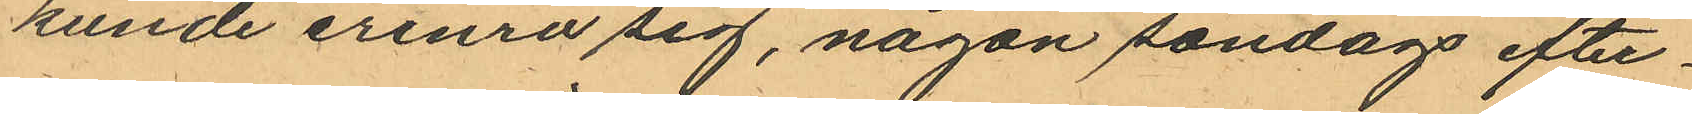kunde erinra sig, någon söndags efter¬
